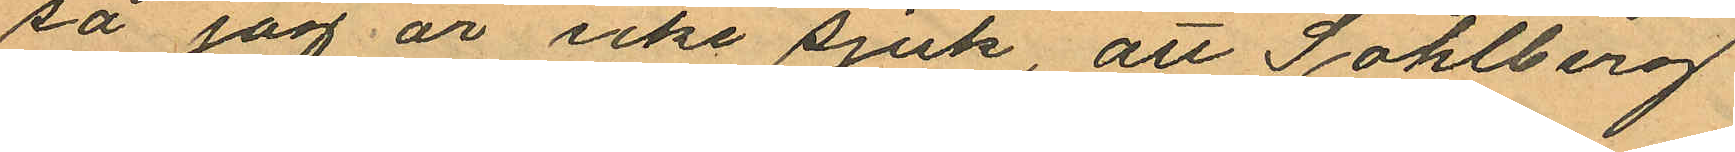så jag är icke sjuk, att Sohlberg
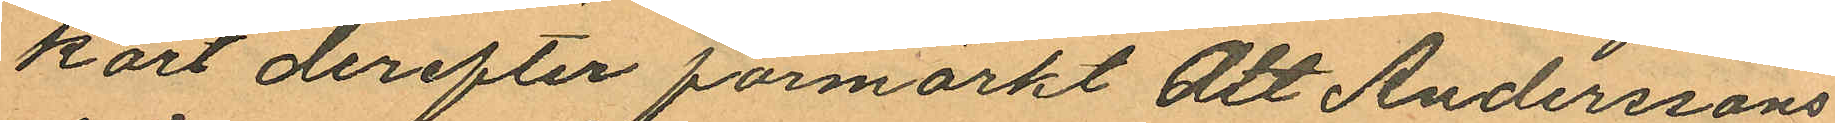kort derefter förmärkt att Anderssons
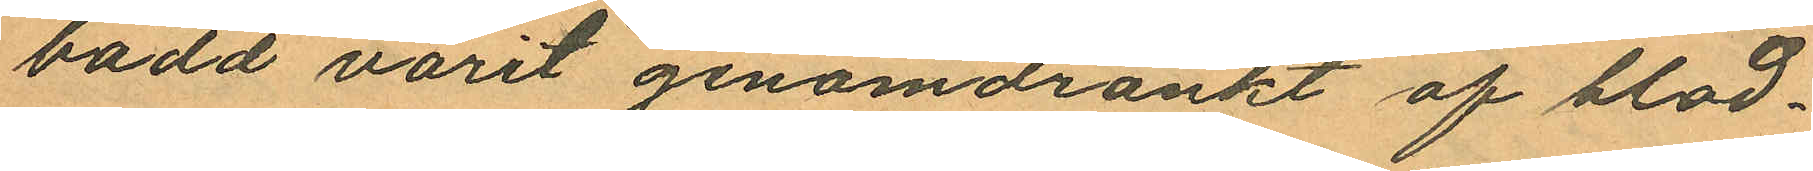bodd varit genomdränkt af blod¬
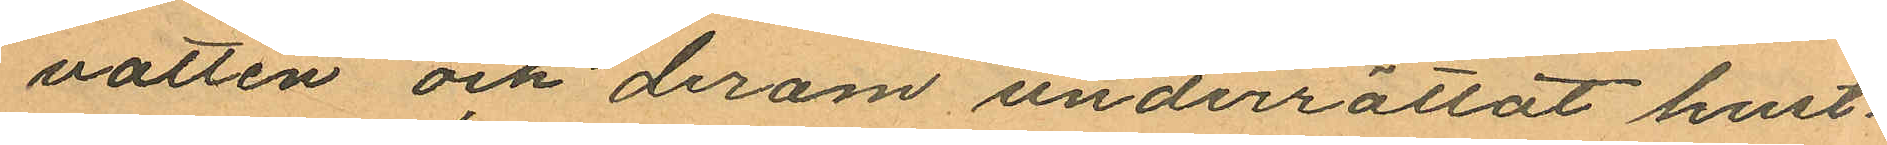vatten och derom underrättat hust¬
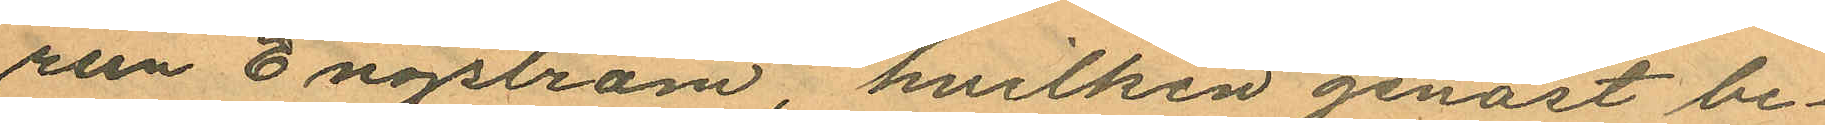run Engström, hvilken genast be¬
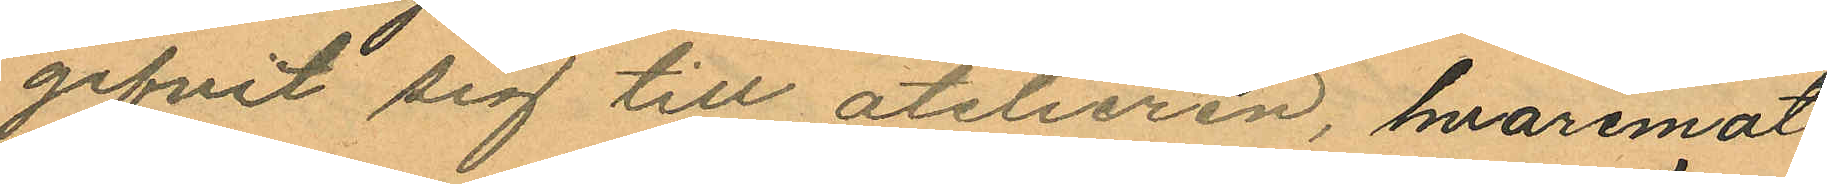gifvit sig till atelieren, hvaremot
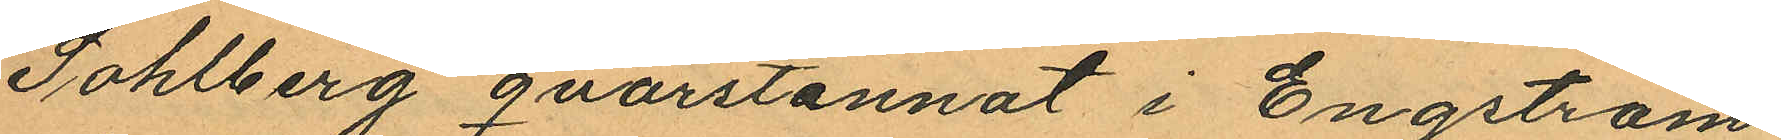Sohlberg qvarstannat i Engströms
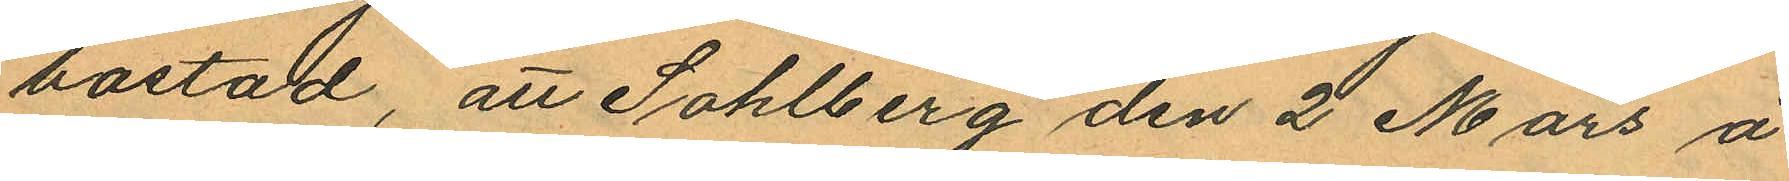bostad, att Sohlberg den 2 Mars å
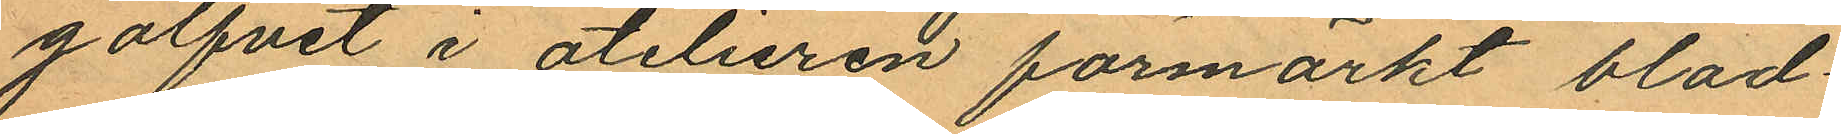golfvet i atelieren förmärkt blod
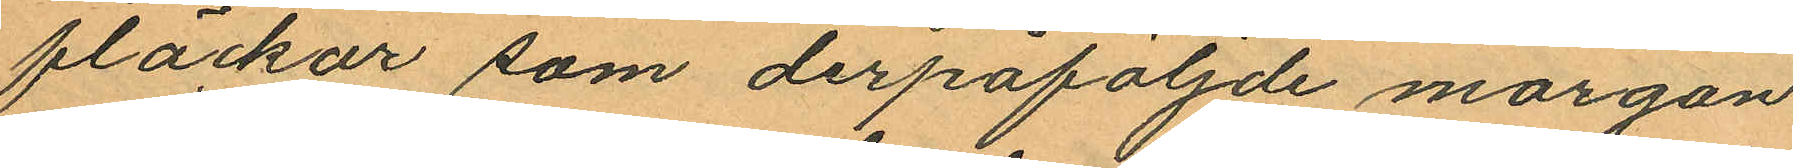fläckar som derpåföljande morgon
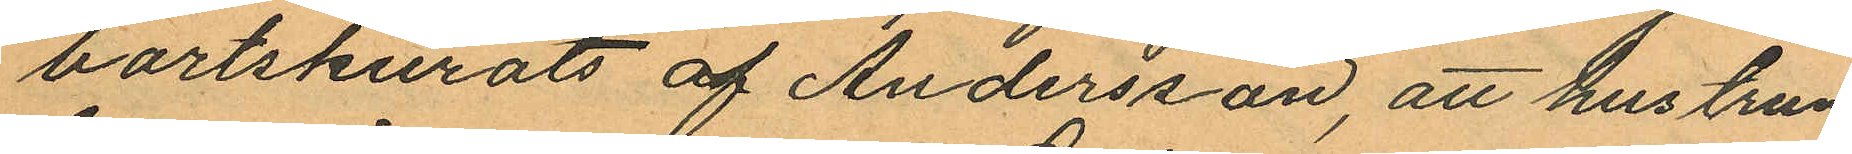bortskurats af Andersson, att hustrun
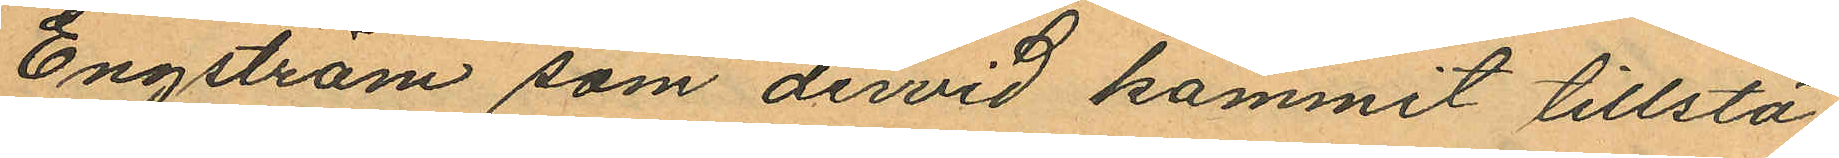Engström som dervid kommit tillstä¬
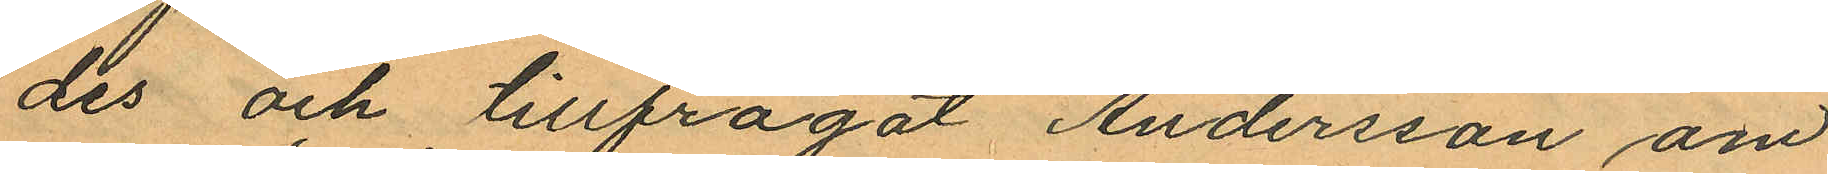des och tillfrågat Andersson om
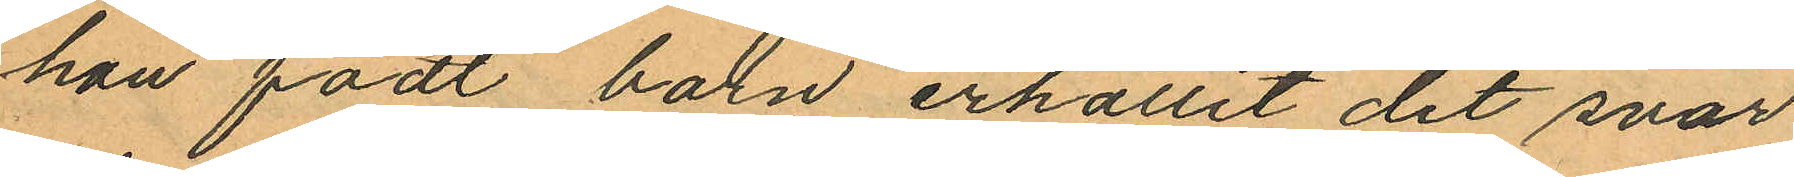hon födt barn erhållit det svar
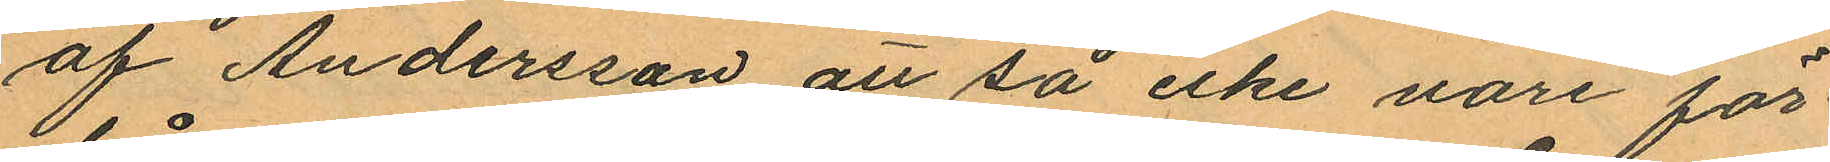af Andersson att så icke vore för
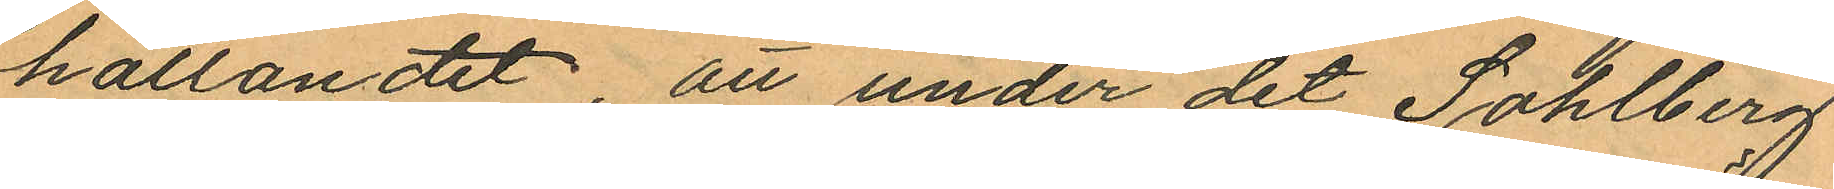hållandet, att under det Sohlberg
